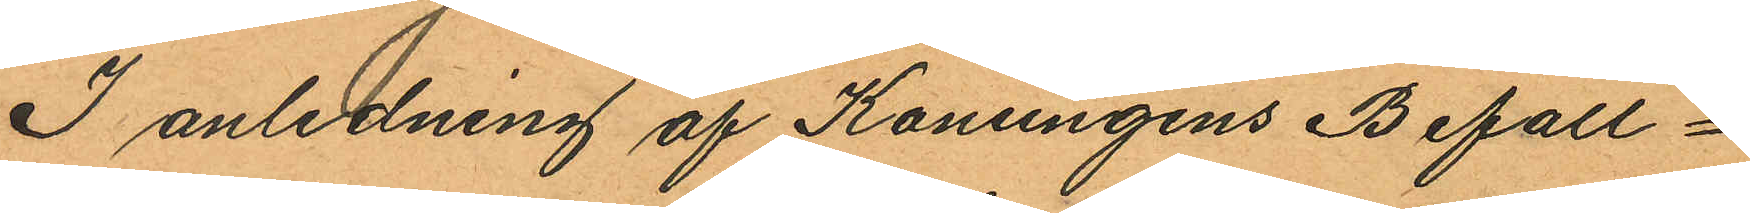I anledning af Konungens Befall¬
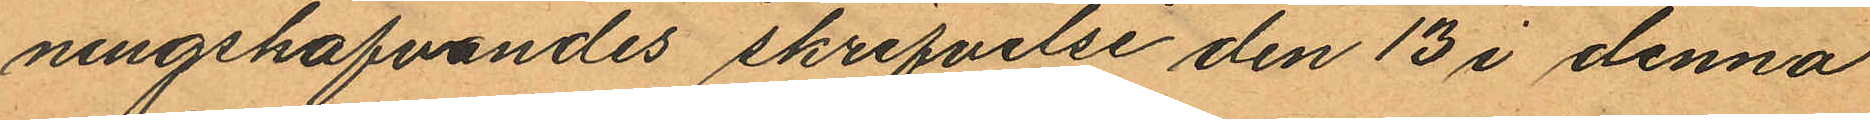ningshafvandes skrifvelse den 13 i denna
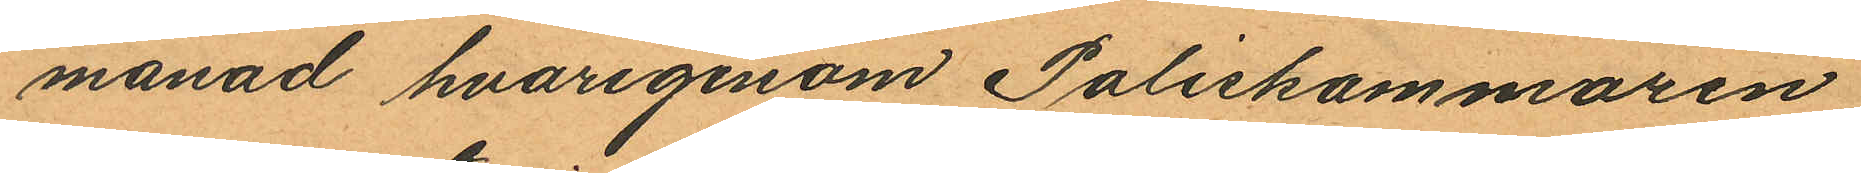månad hvarigenom Poliskammaren
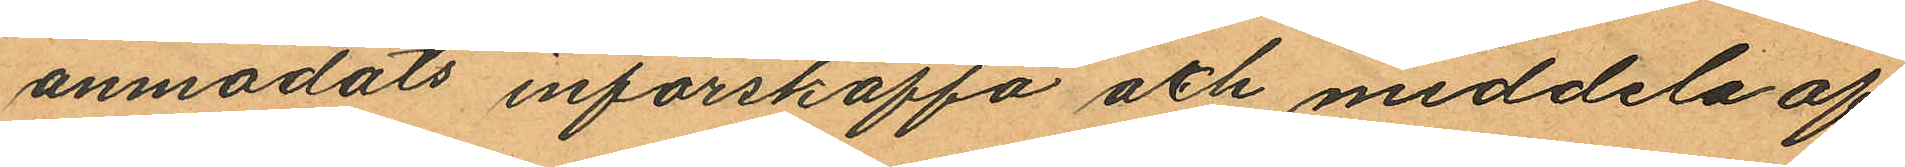anmodats införskaffa och meddela af
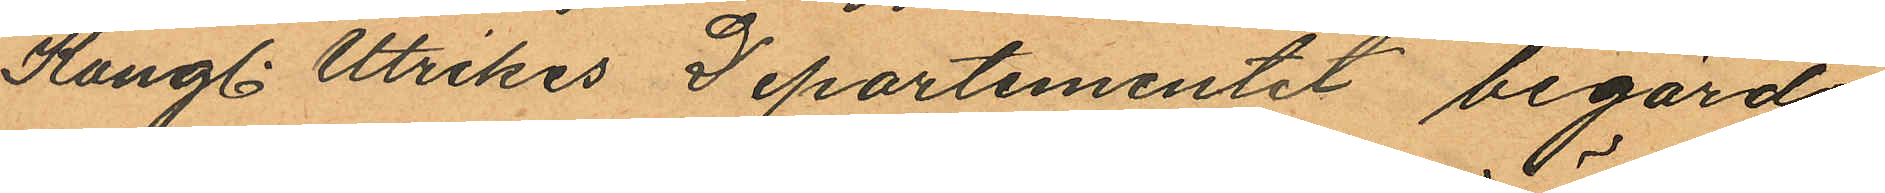Kungl. Utrikes Departementet begärda
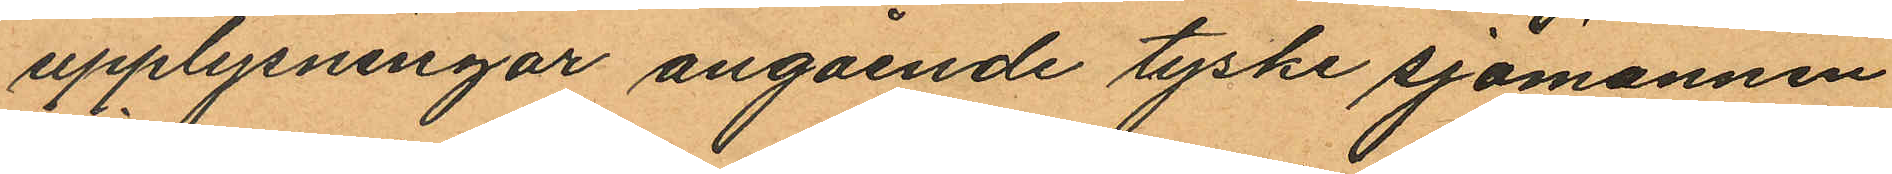upplysningar angående tyske sjömannen
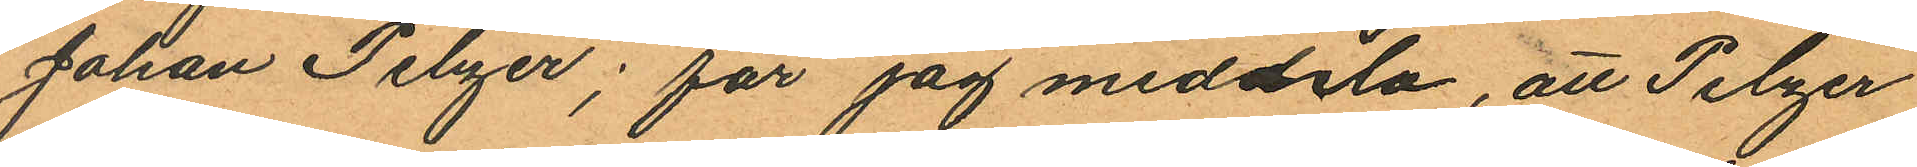Johan Pelzer; får jag meddela, att Pelzer
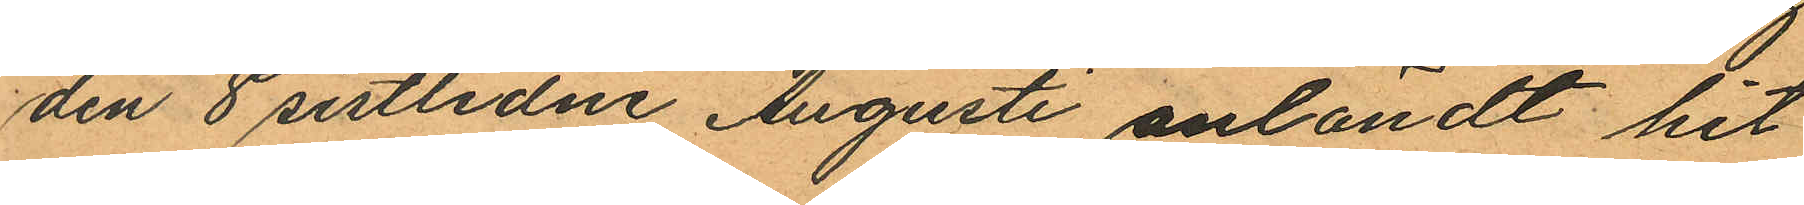den 8 sistlidne Augusti anländt hit
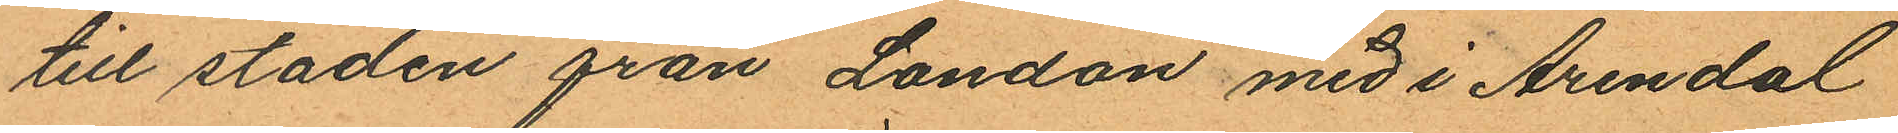till staden från London med i Arendal
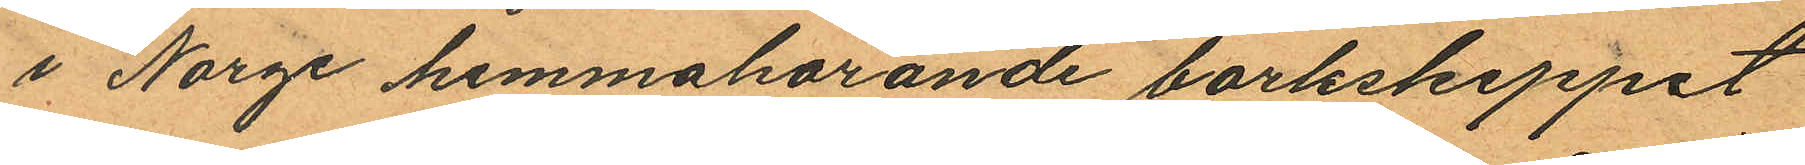i Norge hemmahörande barkskeppet
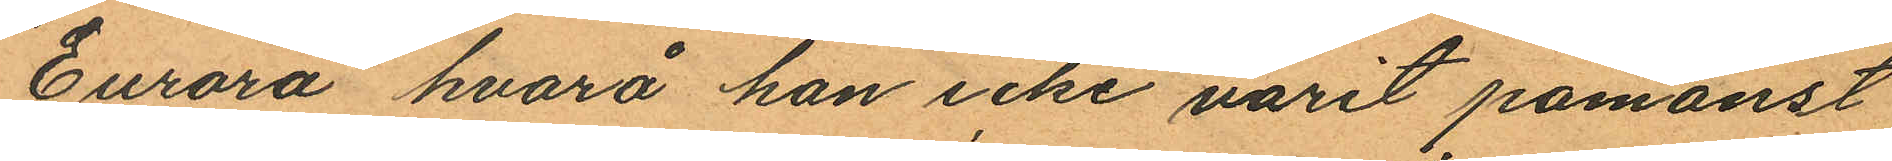"Eurora" hvarå han icke varit påmönst
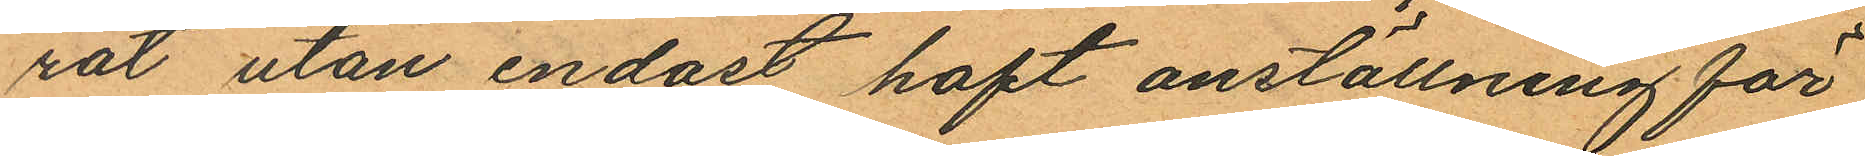rat utan endast haft anställning för
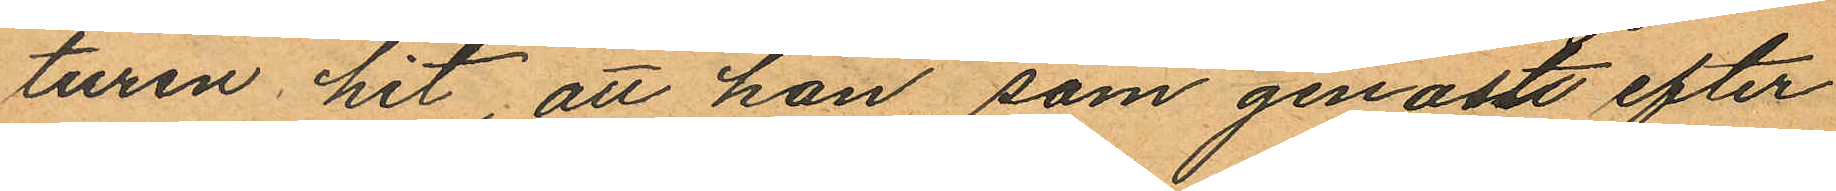turen hit, att han, som genast efter
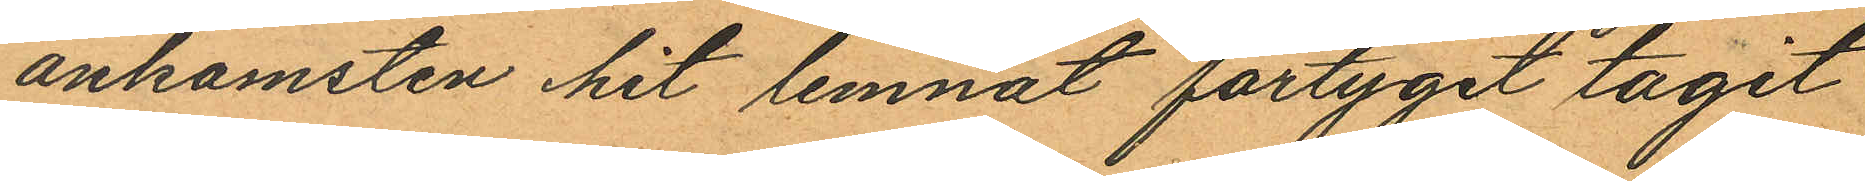ankomsten hit lemnat fartyget tagit
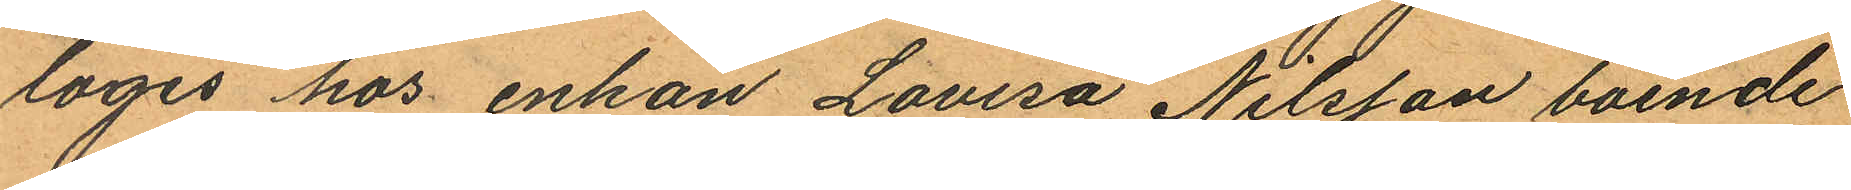logis hos enkan Lovisa Nilsson boende
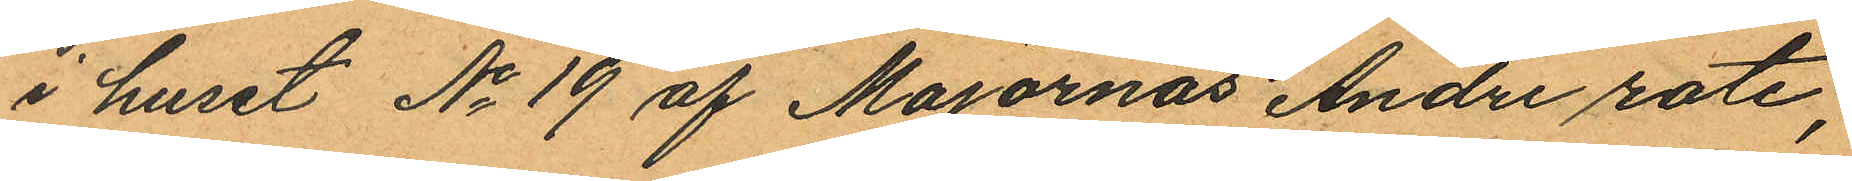i huset No 19 af Majornas Andre rote,
